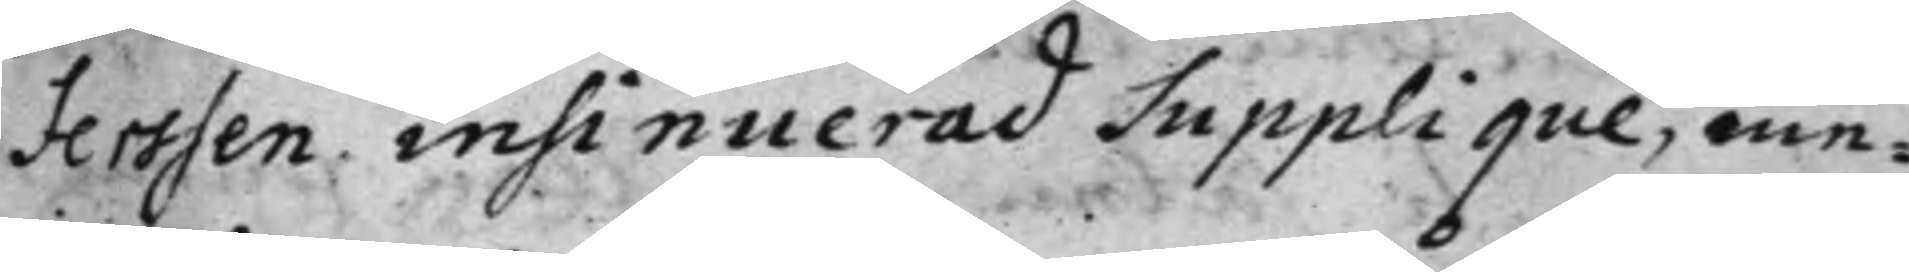Ferssen insinuerad Supplique, me¬
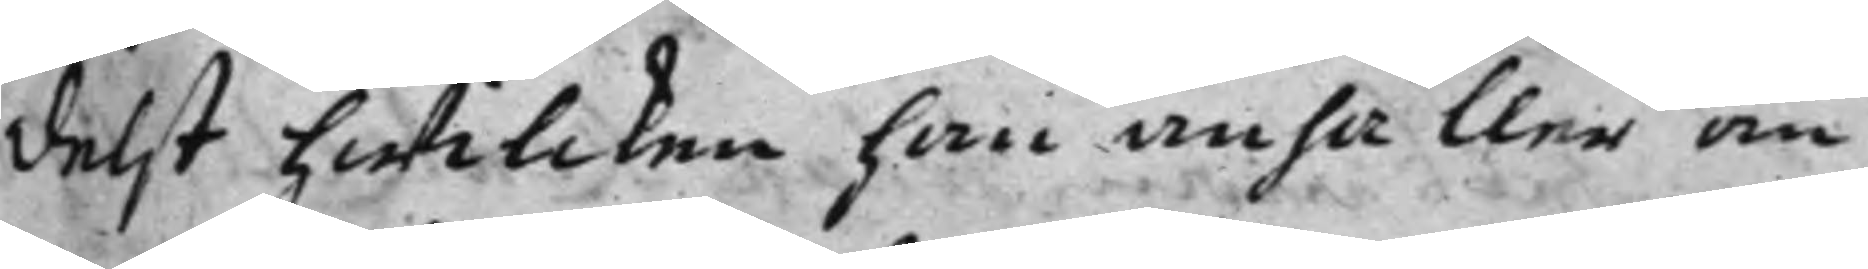delst hwilcken han anhåller om
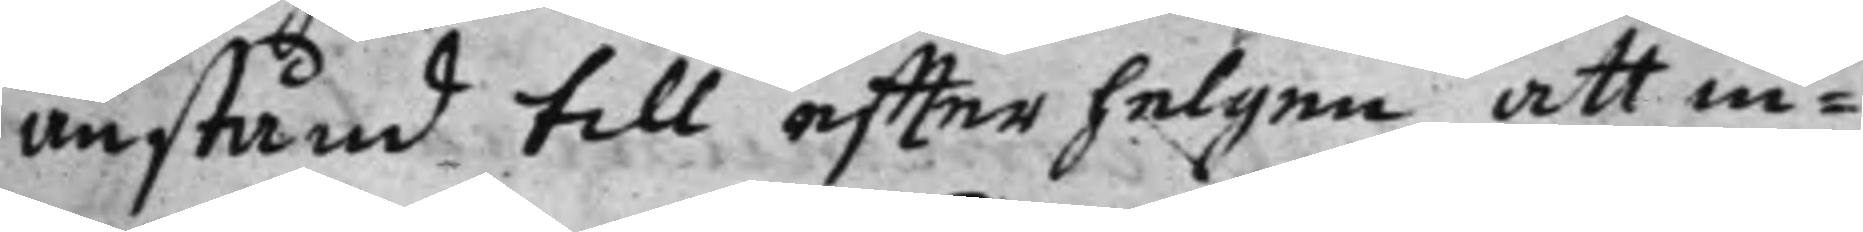anstånd till effter helgen att in¬
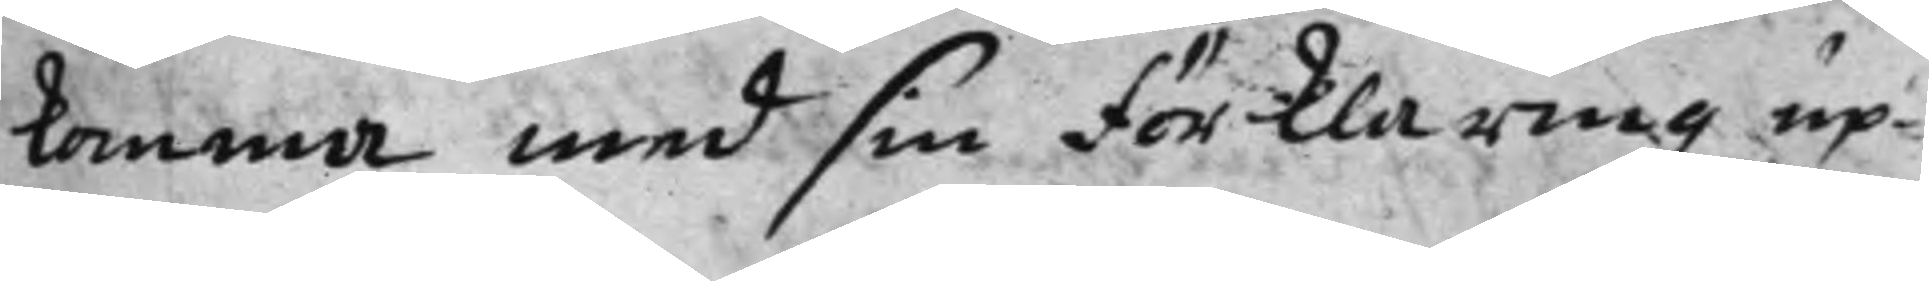komma med sin förklaring up¬
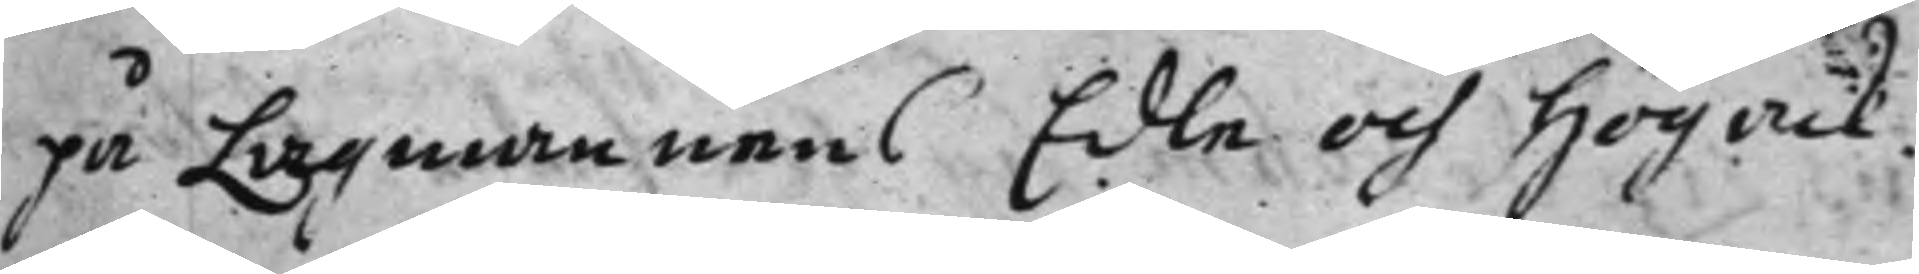på Lagmannens Edle och Högack¬
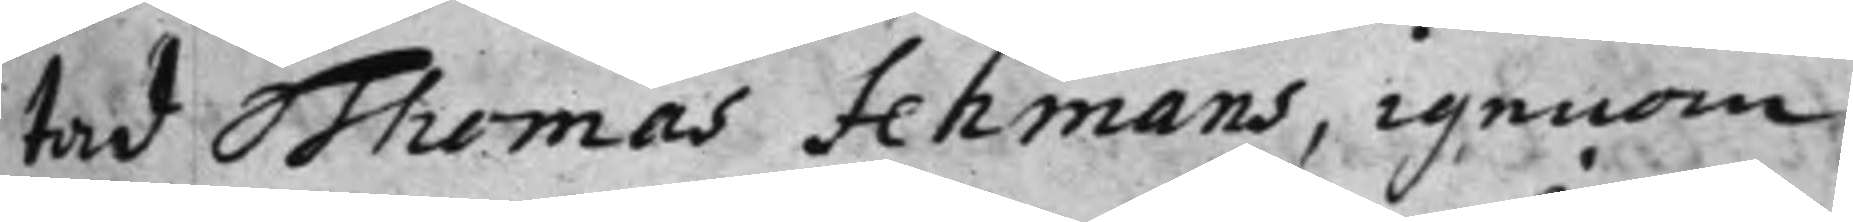tad Thomas Fehmans, igenom
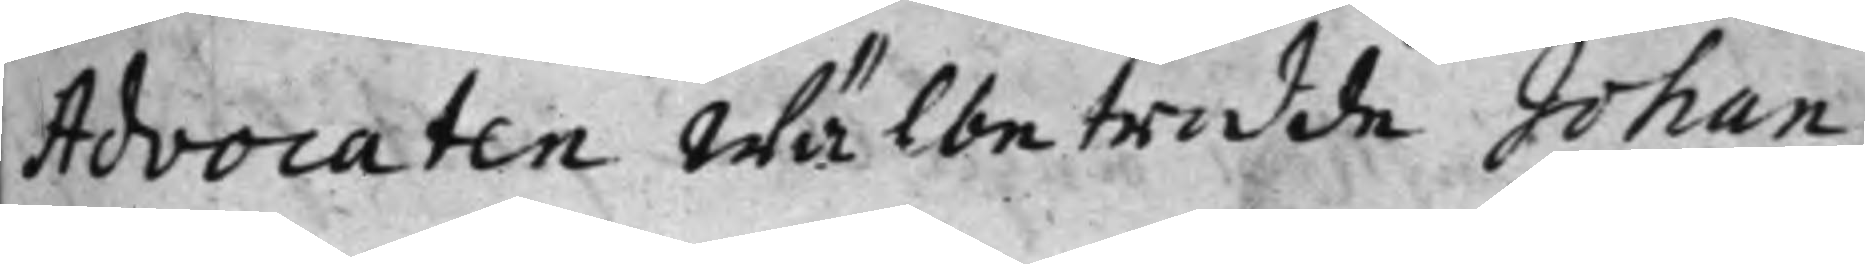Advocaten Wälbetrodde Johan
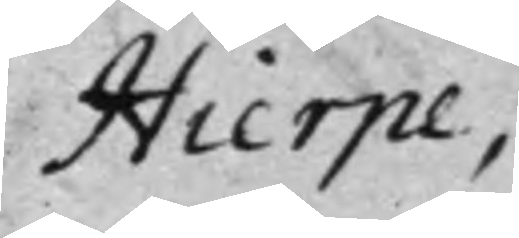Hierpe,
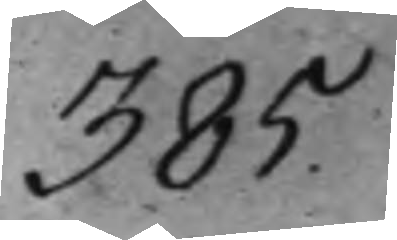385.
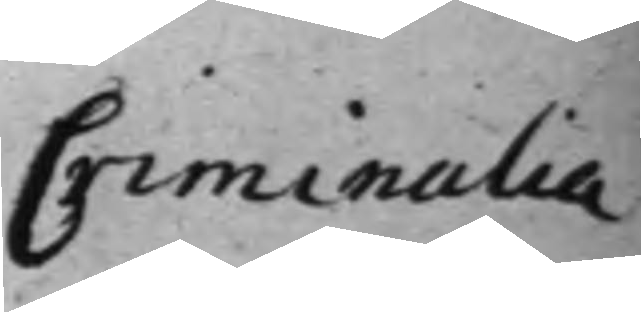Criminalia
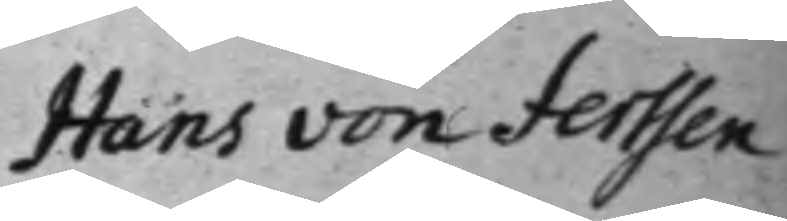Hans von Ferssen 
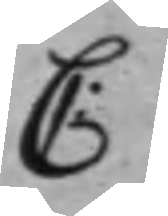C:
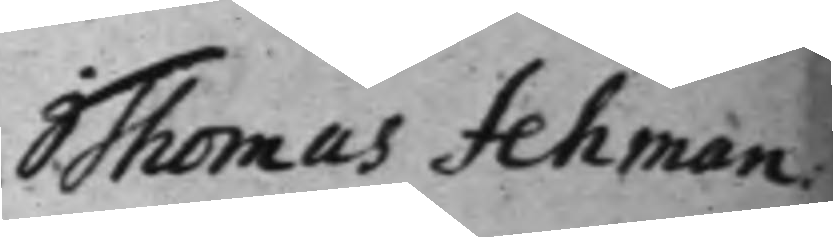Thomas Fehman
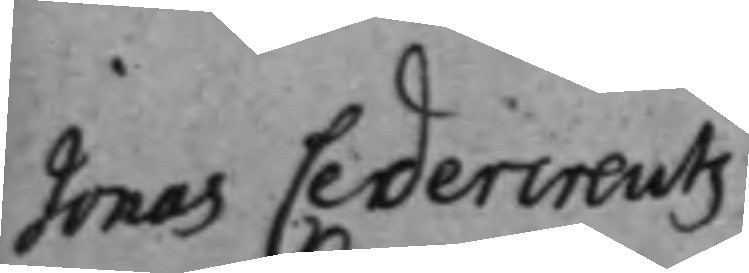Jonas Cedercreutz
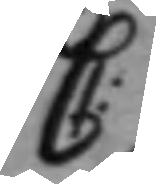C:
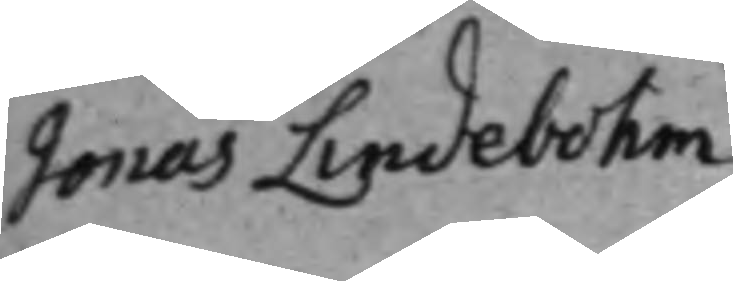Jonas Lindebohm
